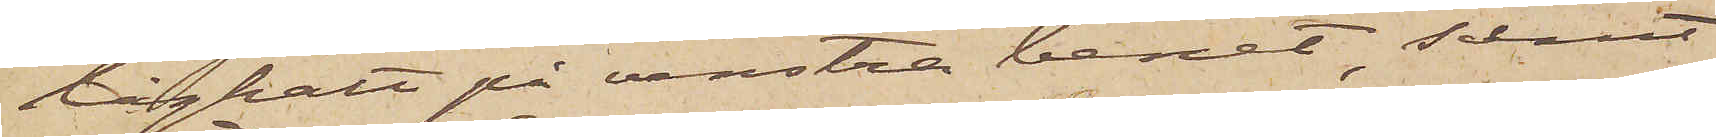låghalt på venstra benet, samt
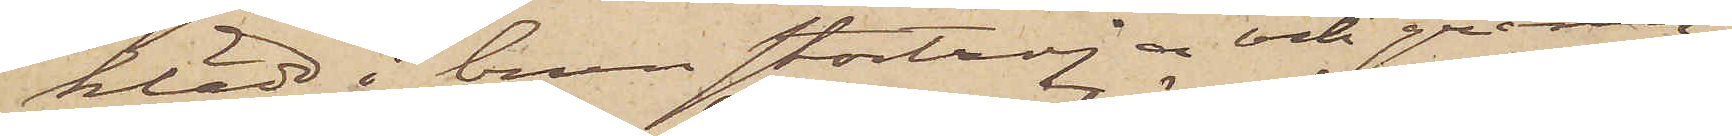klädd i brun stortröja och gråran¬
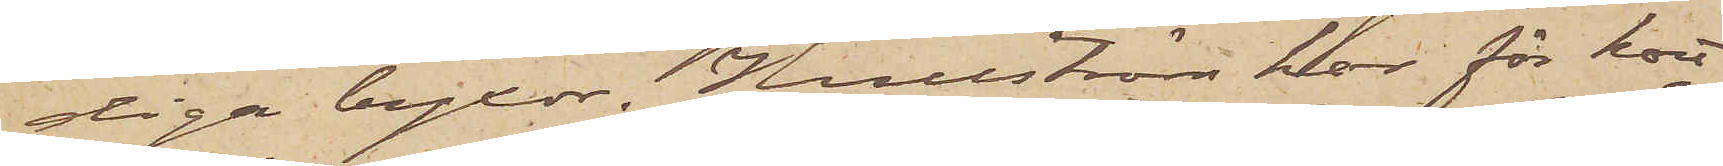diga byxor. Hullström har för kort
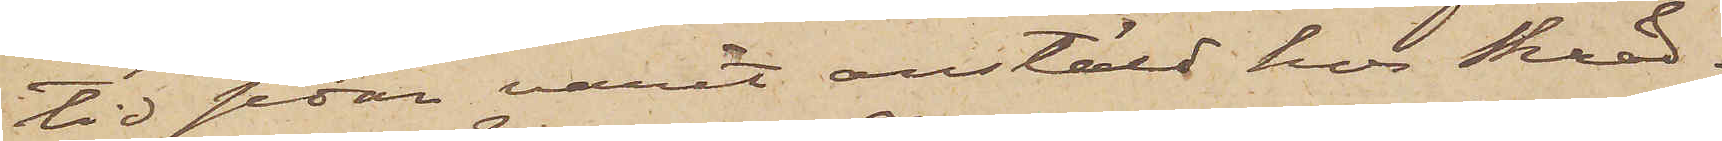tid sedan varit anstäld hos Skrädd¬
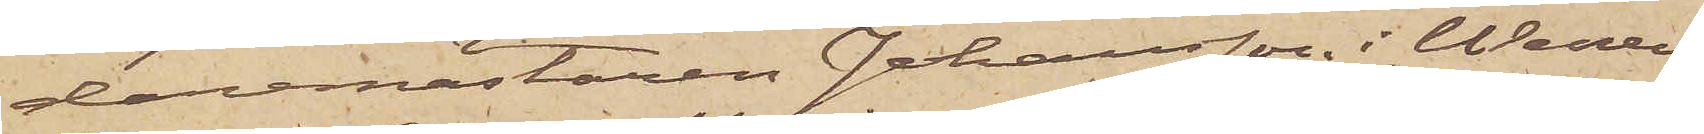daremästaren Johansson i Weners¬
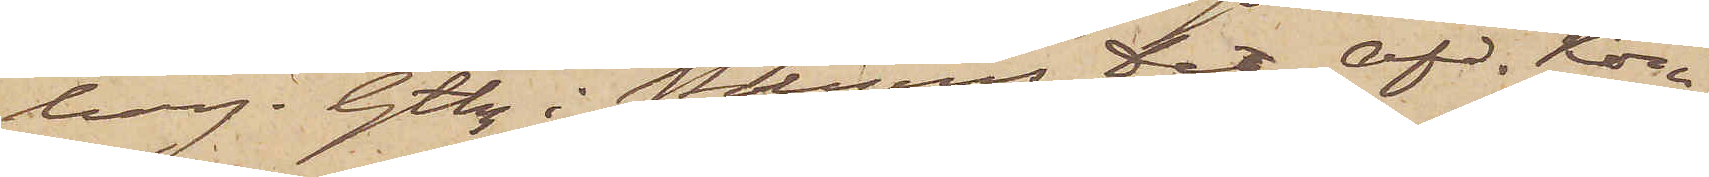borg. Gtbg i Polisens Det. Af Kon¬
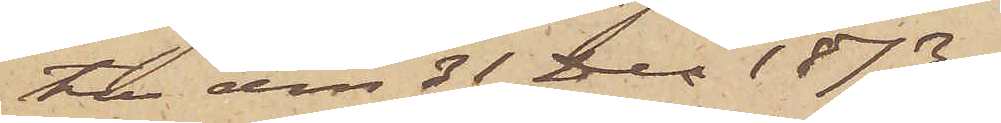tor den 31 Dec 1873.
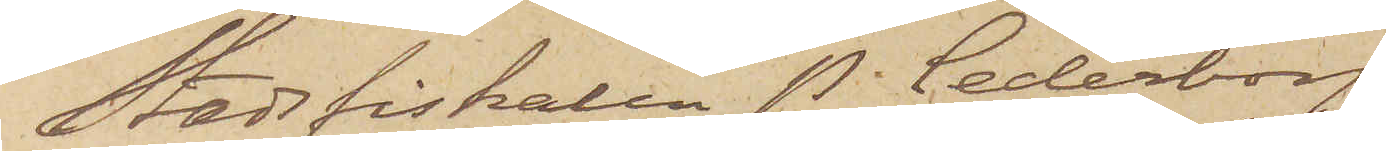Stadsfiskalen P. Cederborg
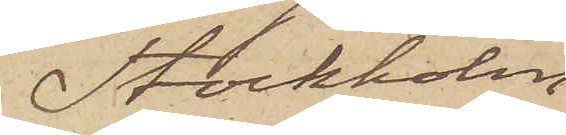Stockholm
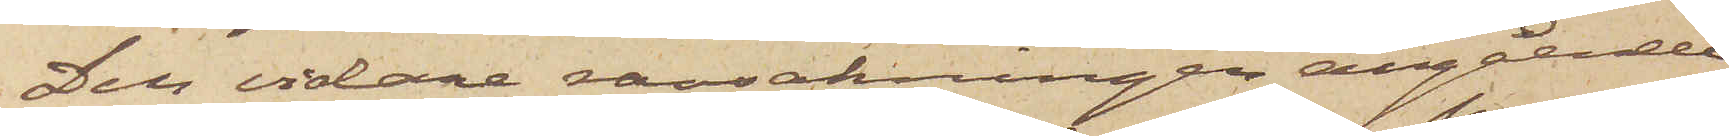Den vidare ransakningen angående
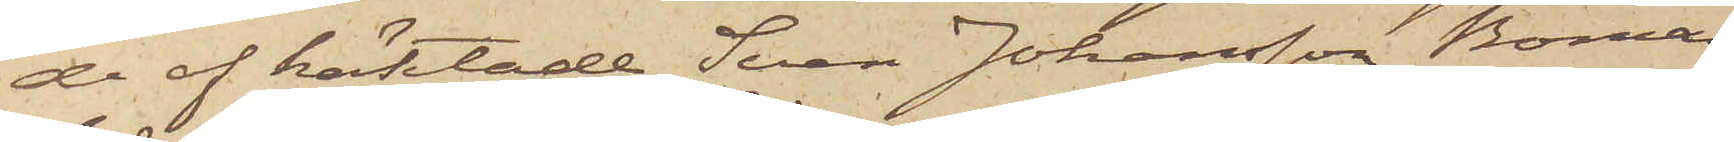de af häktade Sven Johansson Boman
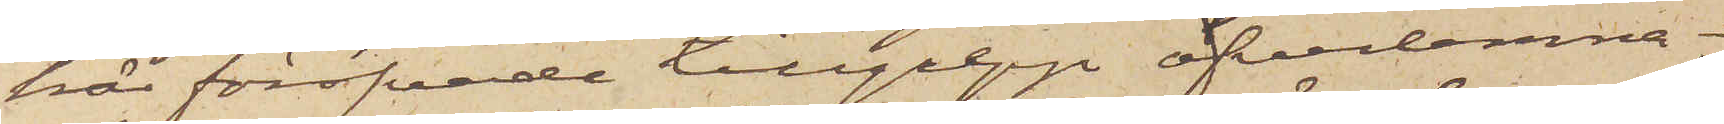här föröfvade tillgrepp öfverlemna¬
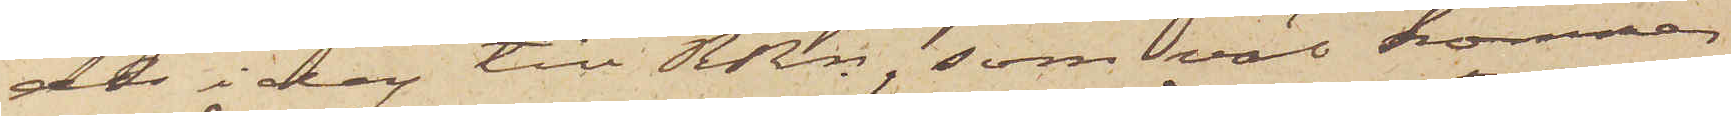des i dag till RRn, som väl kommer
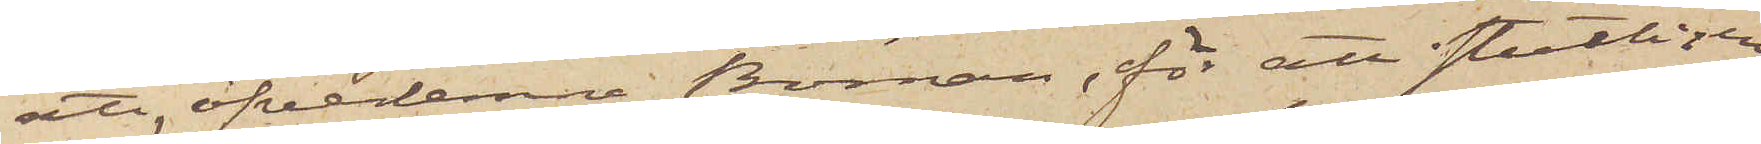att öfverlemna Boman, för att slutligen
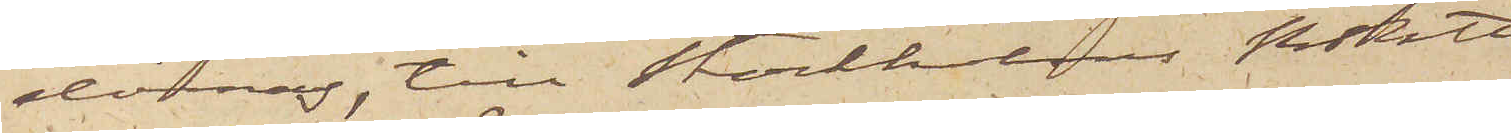dömas, till Stockholms RRtt.
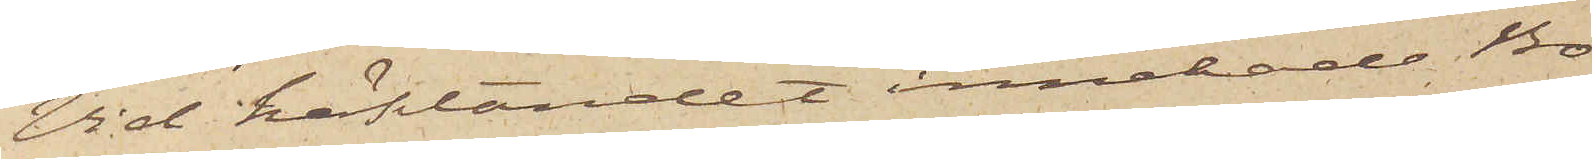Vid häktandet innehade Bo¬
